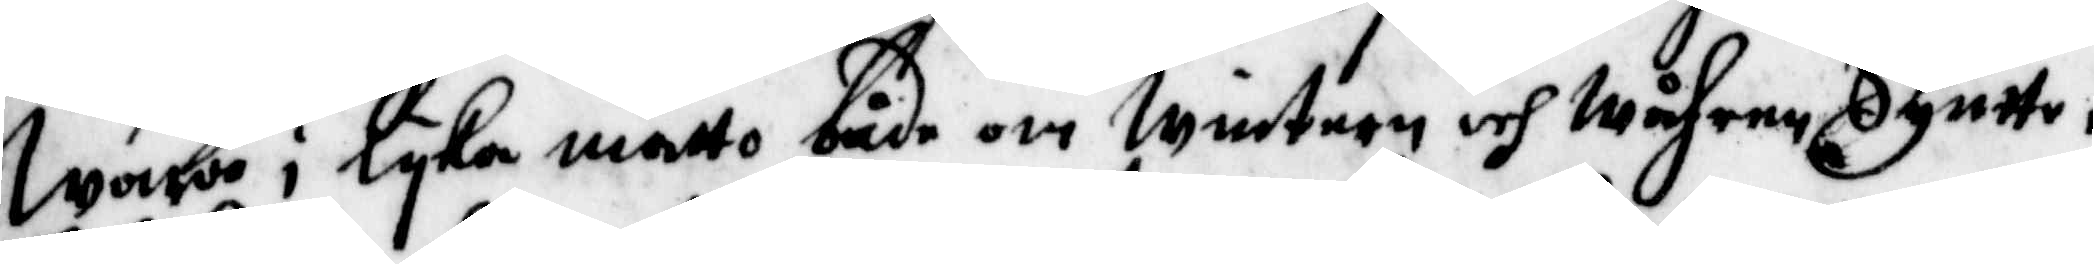wara i lyka måtto både om wintern och wåhren syntte i
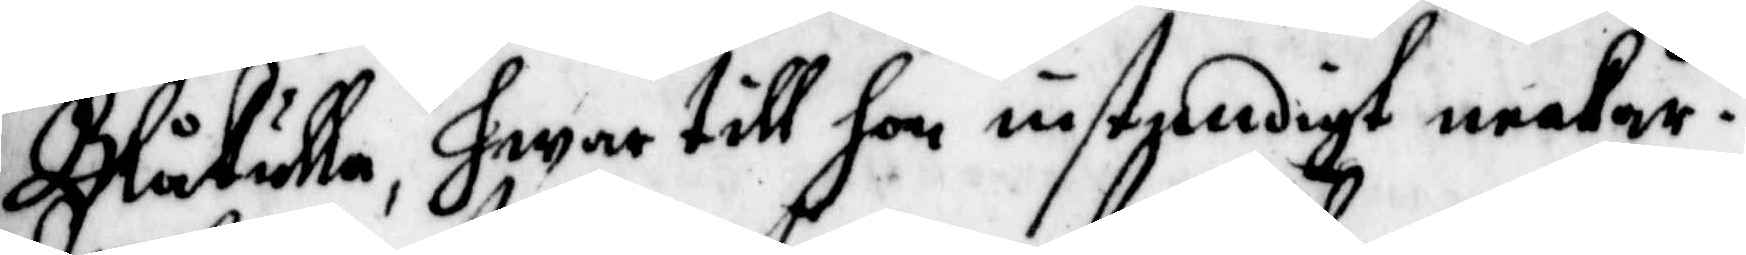Blåkulla, hwar till hon instendigt neekar.
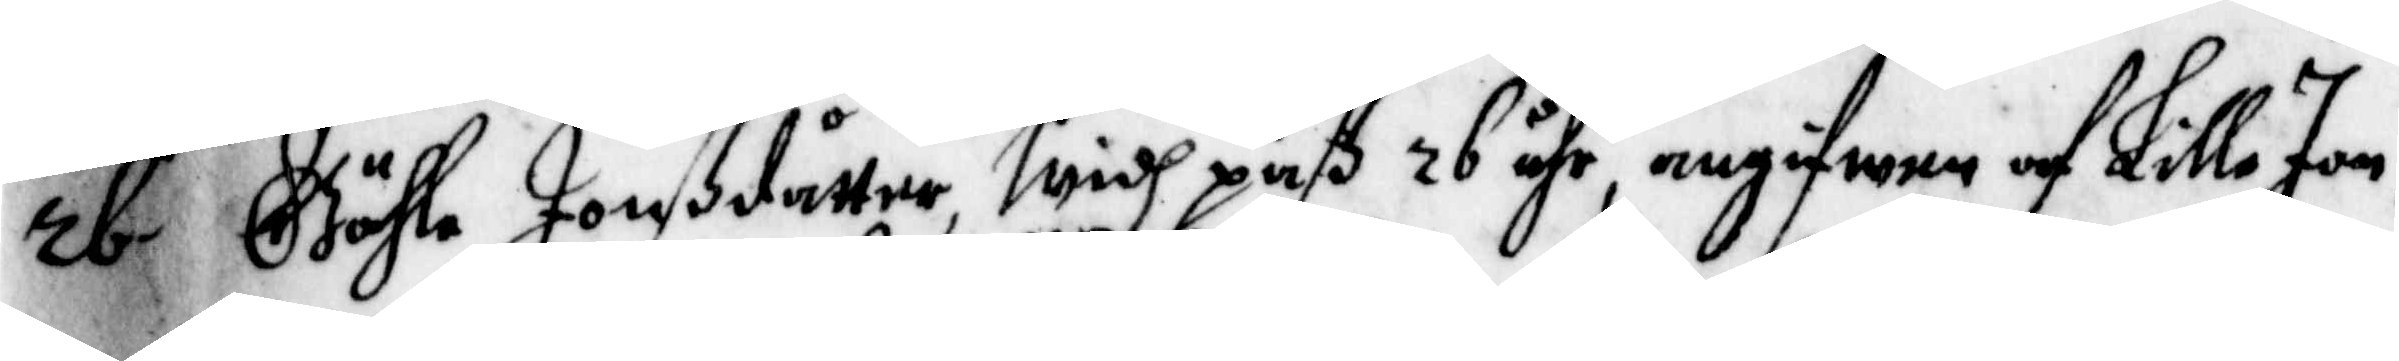26. Gähle Jonßdåtter, widh paß 26 åhr, angifwen af Lilla Jon,
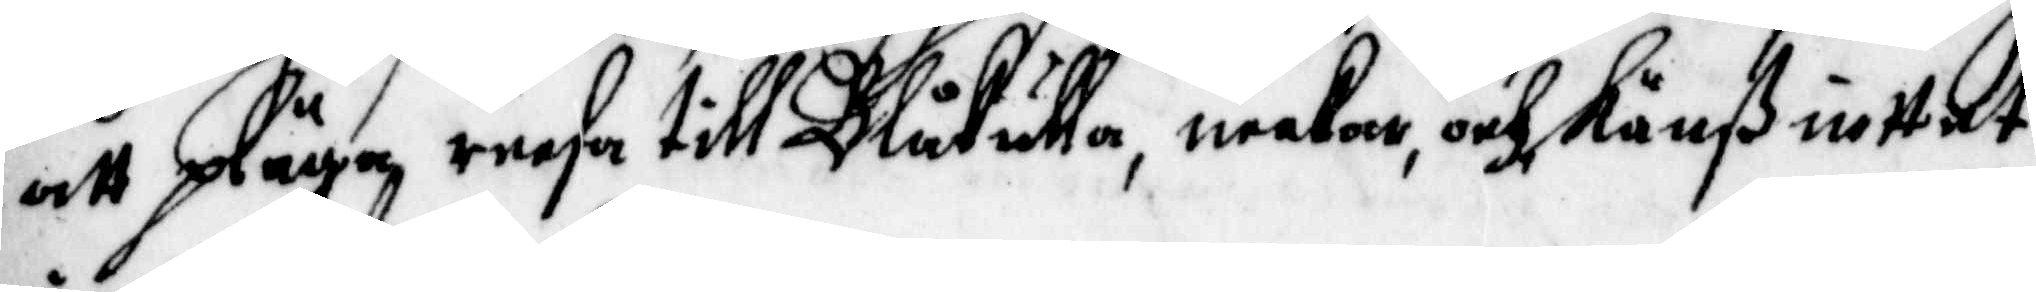att pläga reesa till Blåkulla, neekar, och känß inttet 
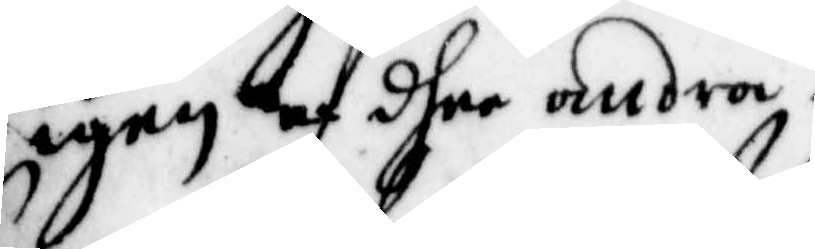igen af dhee andra.
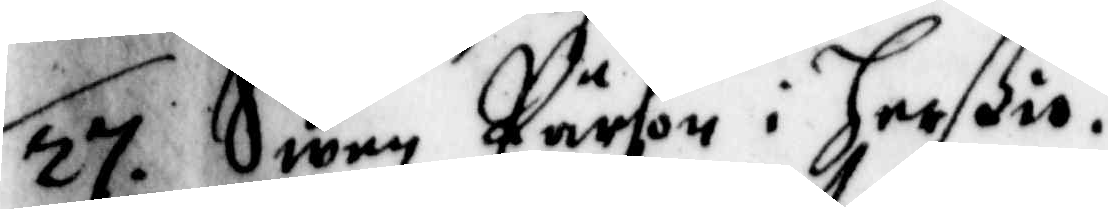27. Swen Pärson i Herigen af dhee andra.iö.
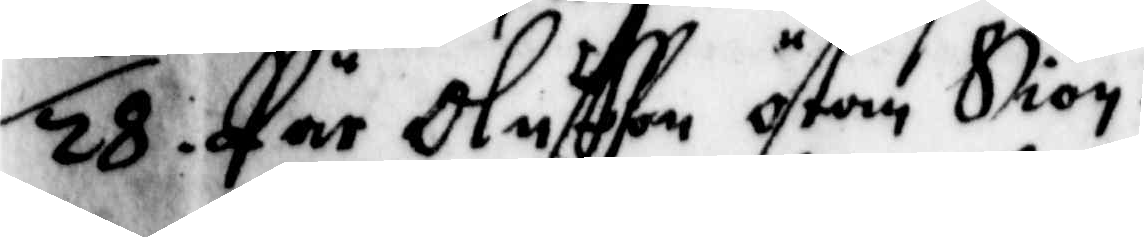28. Pär Oluffson östan Siön.
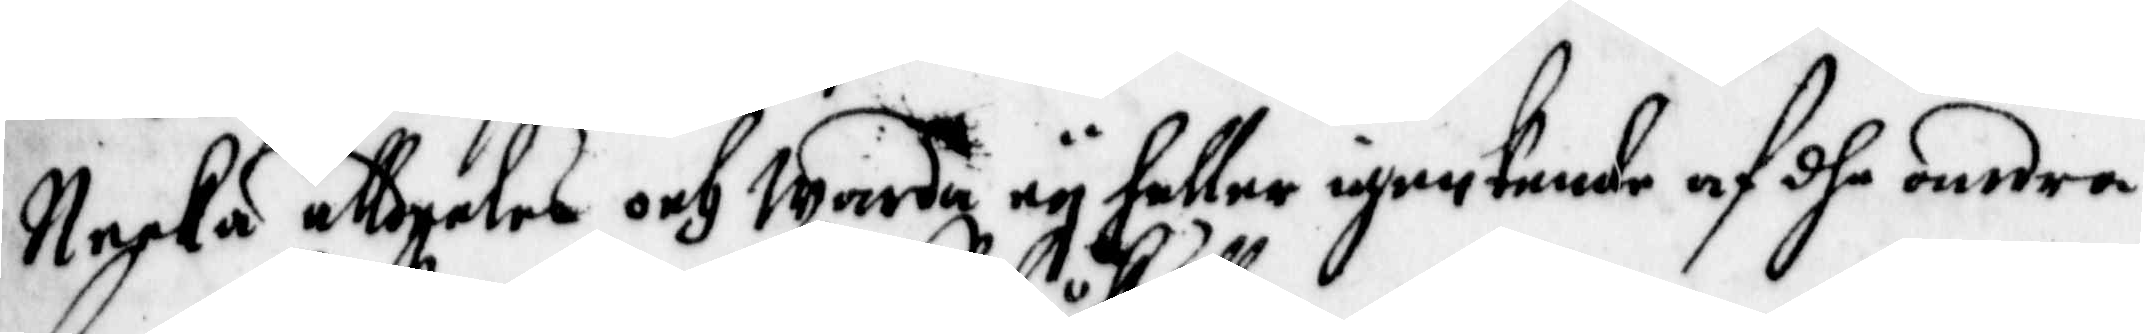Necka alldeles och warda ey heller igenkende af dhe andra.
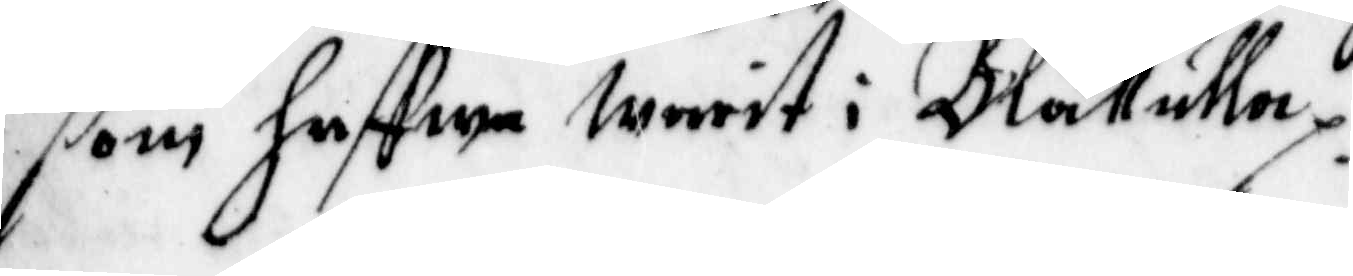som haffwa warit i Blåkulla.
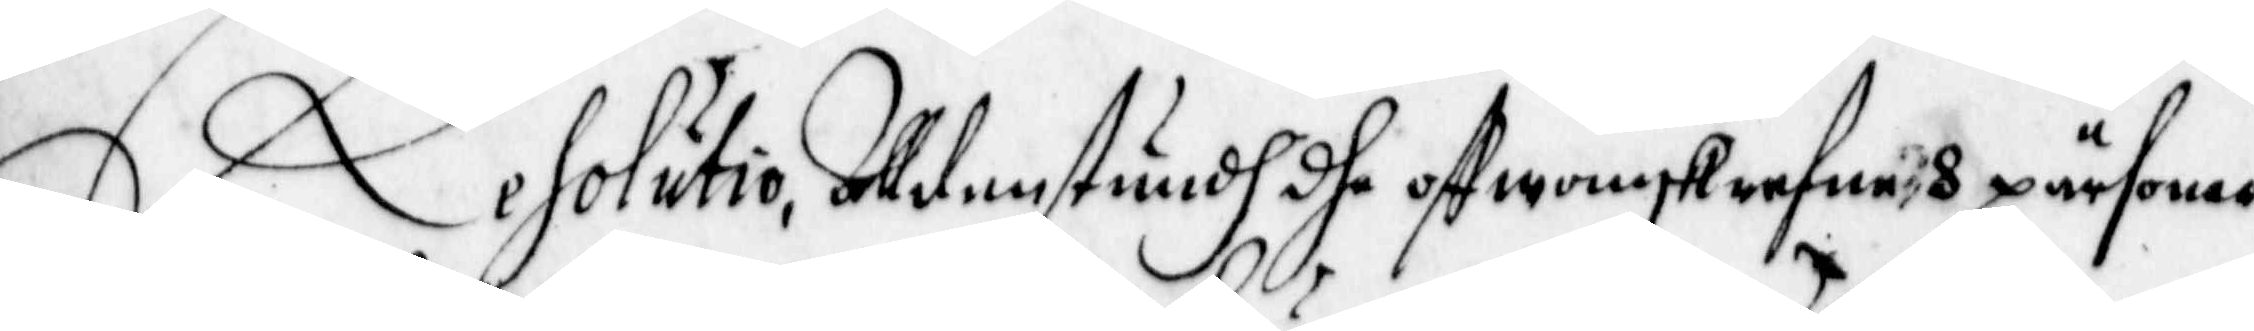Resolutio, Alldenstundh dhe offwanskrefne 8 pärsoner
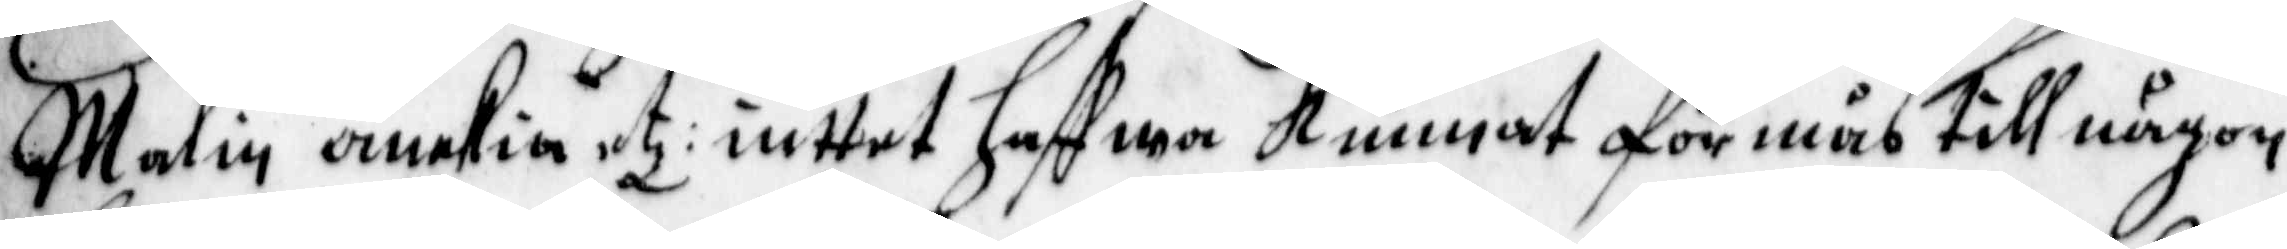Malin änkia etz: inttet hafwa kunnat förmås till någon
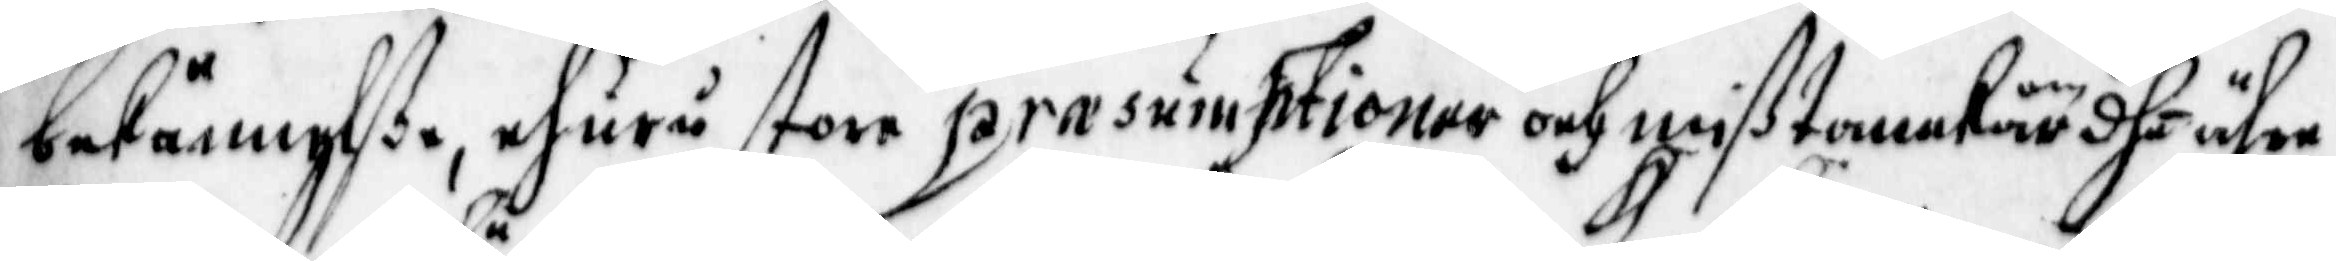bekännelße, ehuru store prasumptioner och mißtanckar om dhe ähre
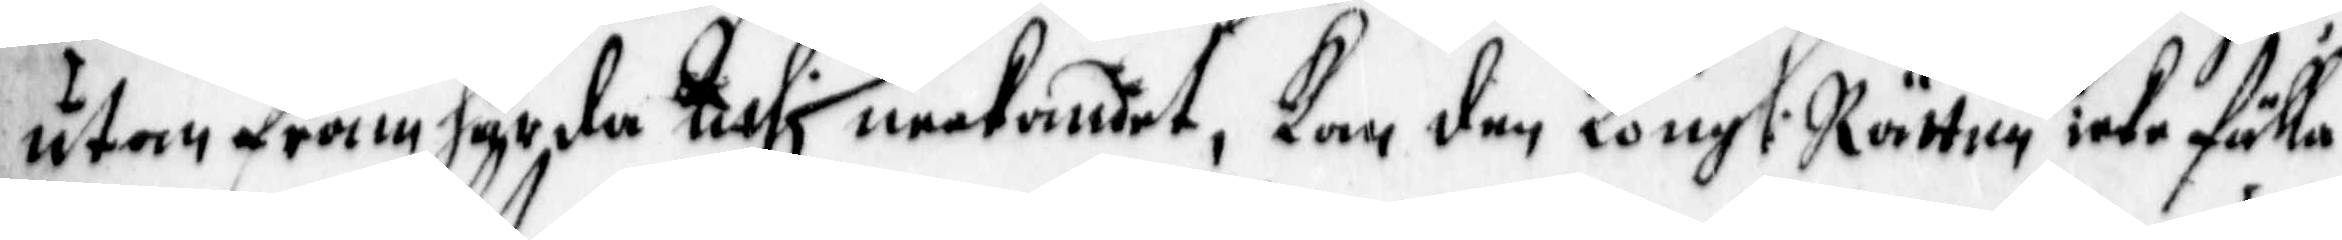utan framhärda Uthi neekandet, kan den Kongl: Rätten icke fälla
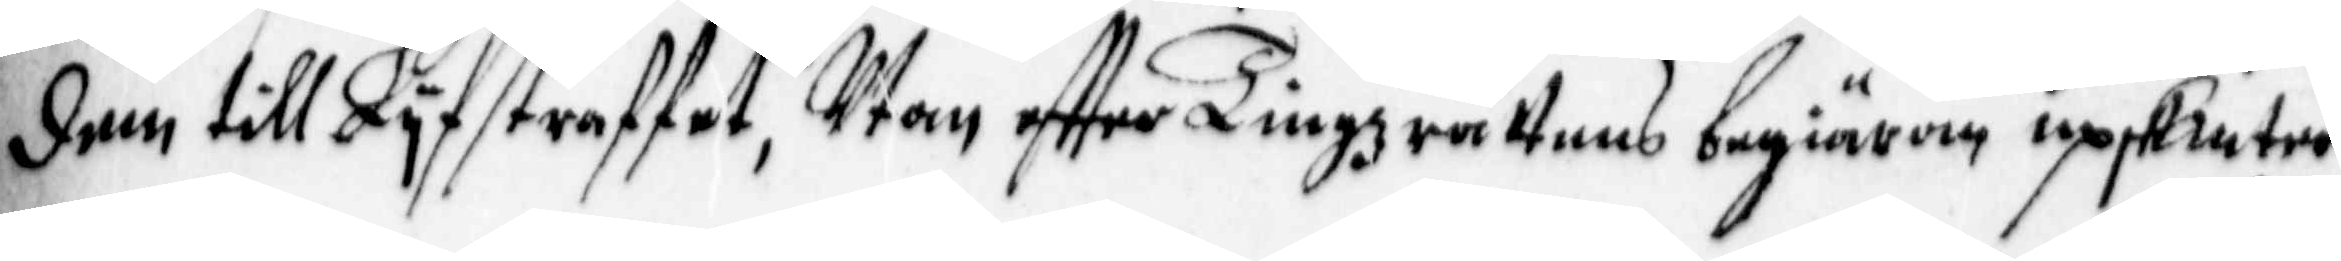dem till Lyfstaffet, Utan effter Tingzrättens begiäran upskiuter
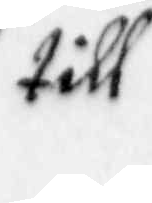till
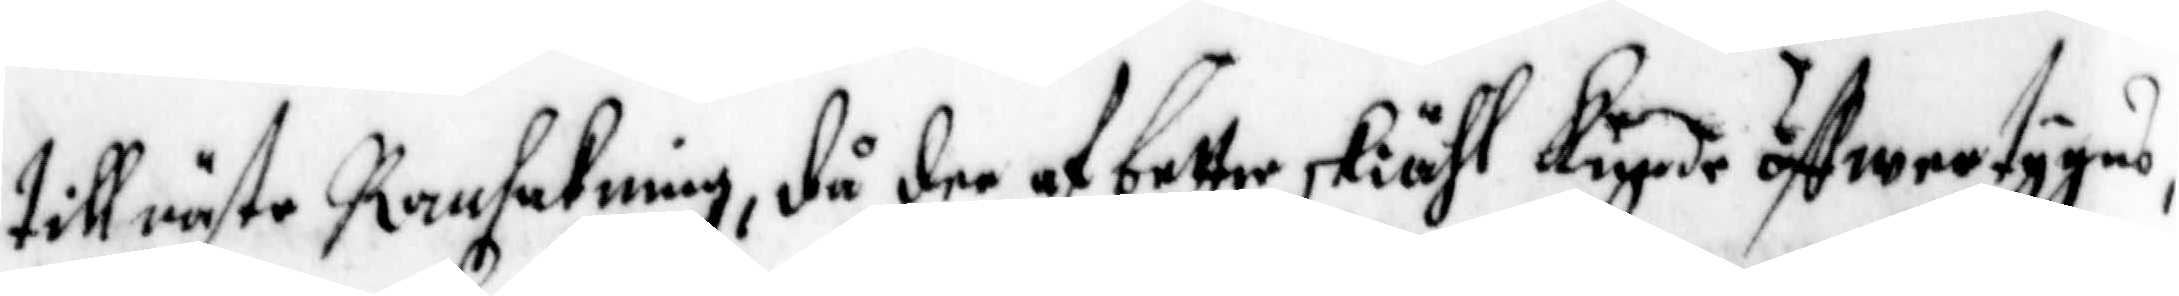till rätte Ransakning, då dee af bettre skiähl kunde öffwertygas
